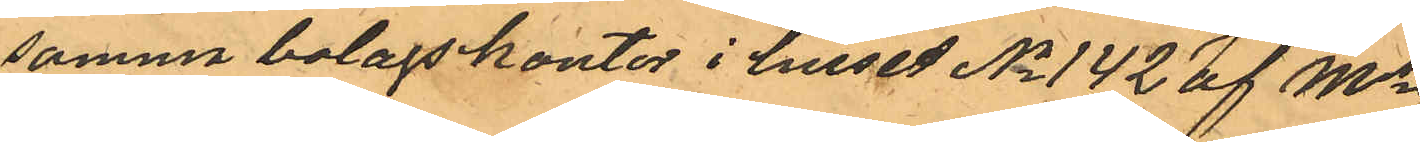samma bolagskontor i huset No 142 af Ms
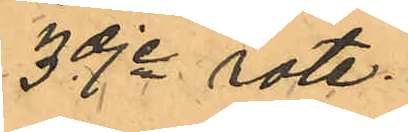3dje rote.
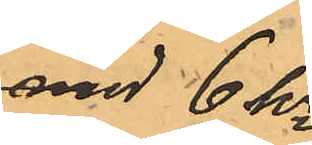med 6 kr
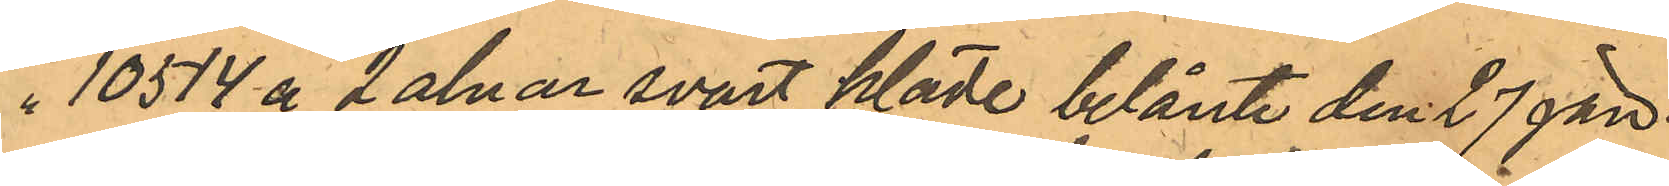10514 å 2 alnar svart kläde belånte den 27 jan.
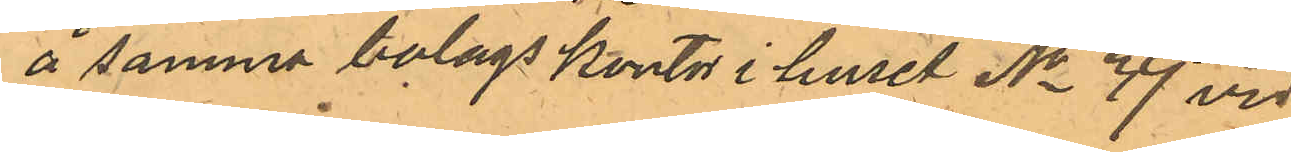å samma bolags kontor i huset No 39 vid
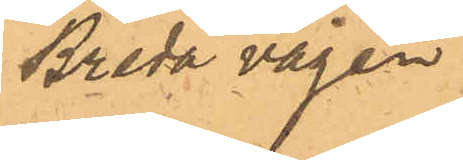Breda vägen
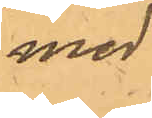med
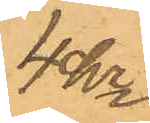4kr
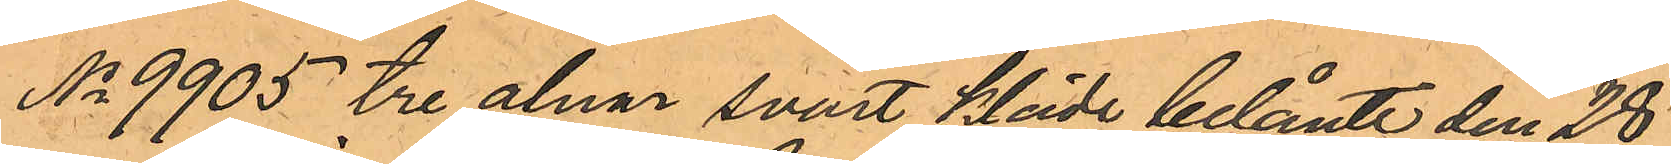No 9905 tre alnar svart kläde belånte den 28
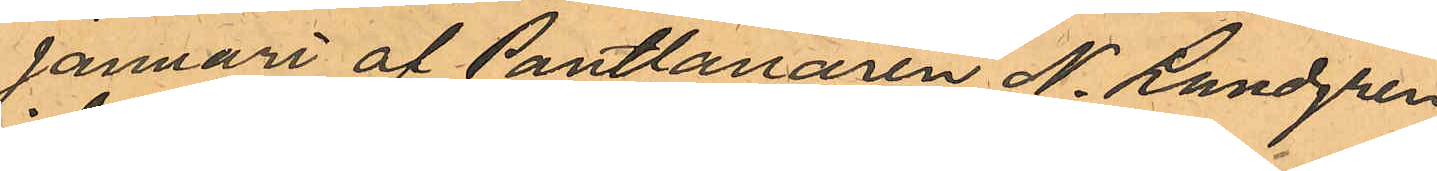Januari af Pantlanaren N. Lundgren
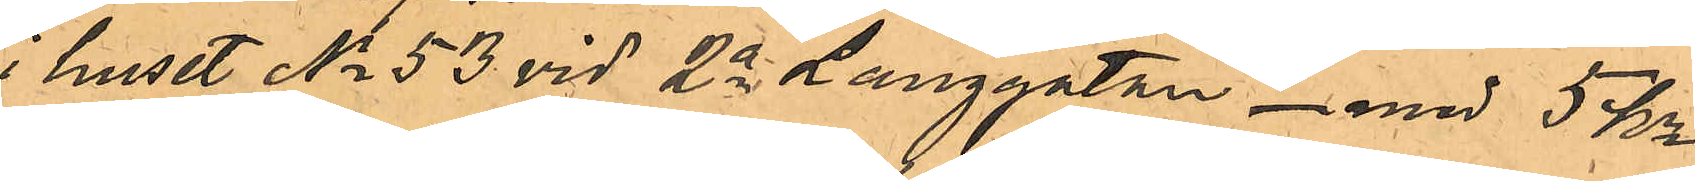i huset No 53 vid 2a Langgatan - med 5 kr
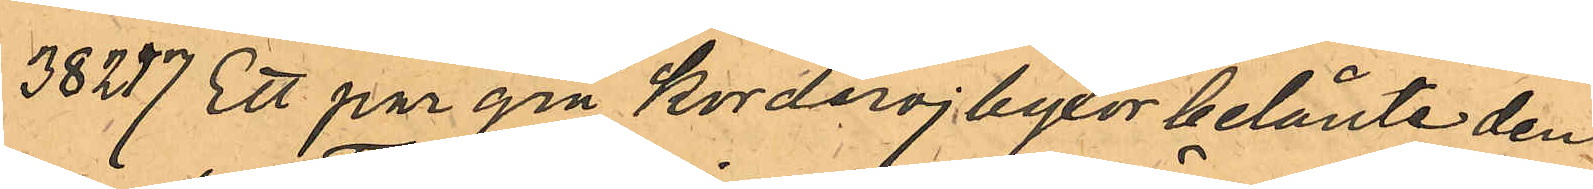38217 Ett par grå Korderojbyxor belånte den
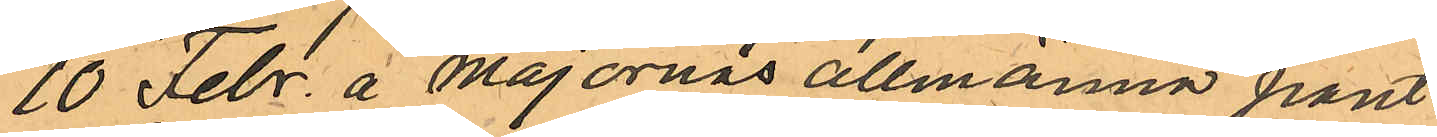10 Febr. å Majornas allmänna pant¬
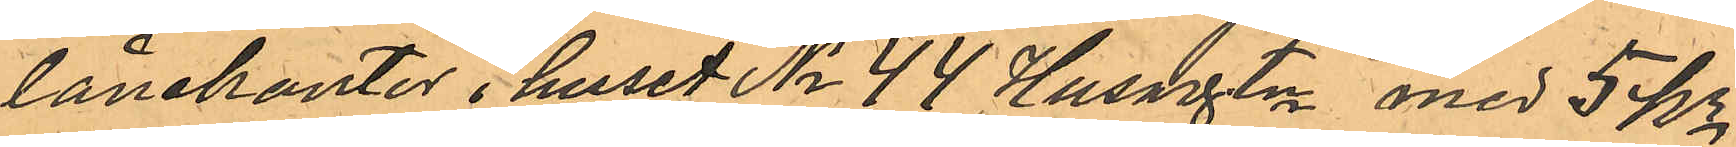lånekontor i huset No 44 Husargatn med 5 Kr.
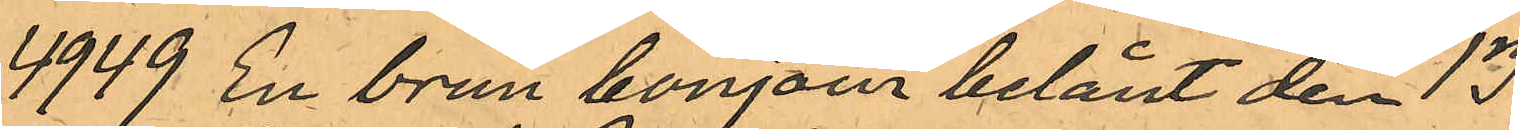4949 en brun bonjour belånt den 13
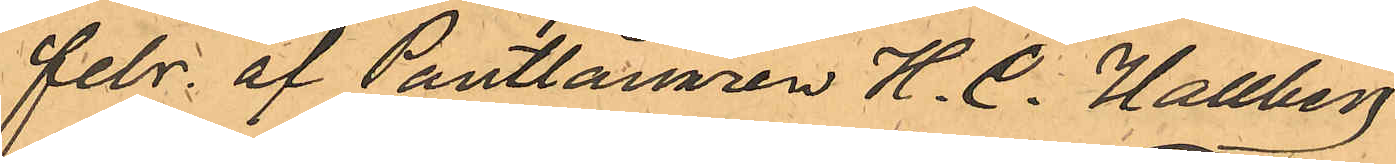febr. af Pantlånaren H. C. Hallberg
